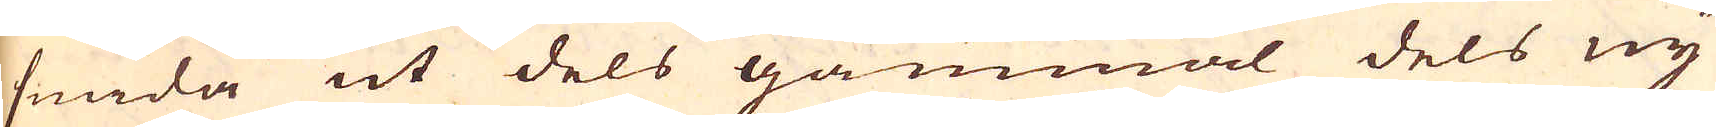smida ut dels gammal dels ny
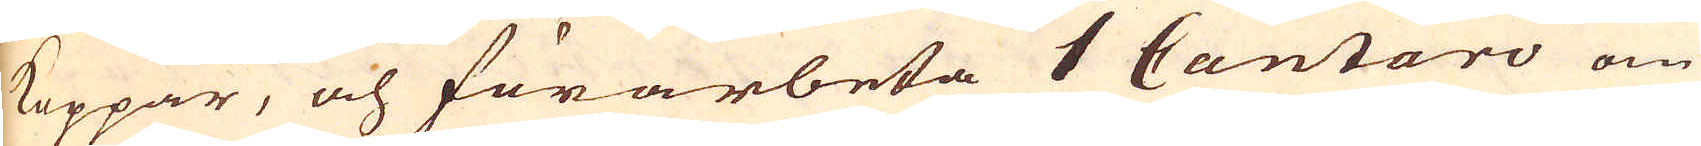koppar, och förarbeta 1 Cantaro om
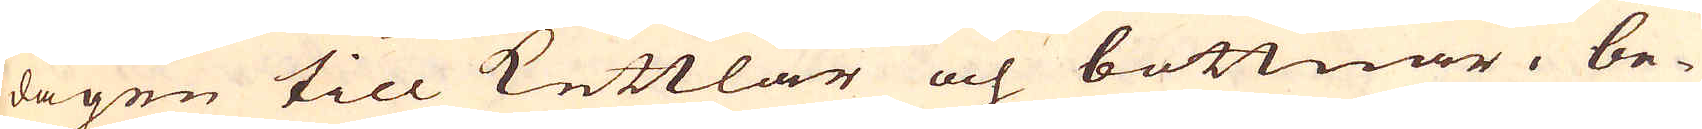dagen till Kettlar och bottnar, be-
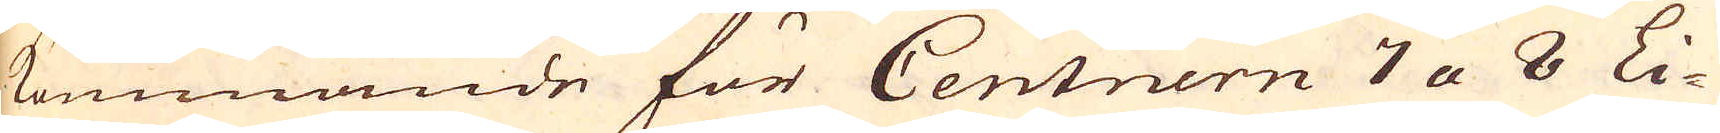kommande för Centnern 7 a 8 Li-
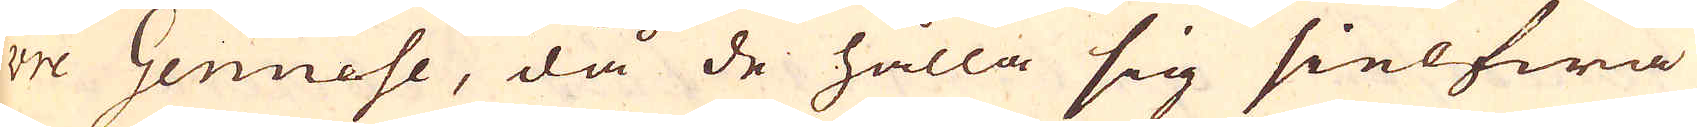vre Genuese, då de hålla sig sielfwa
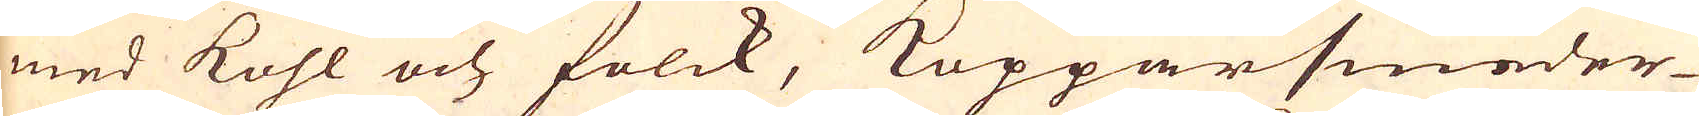med kohl och folck, Kopparsmeder-
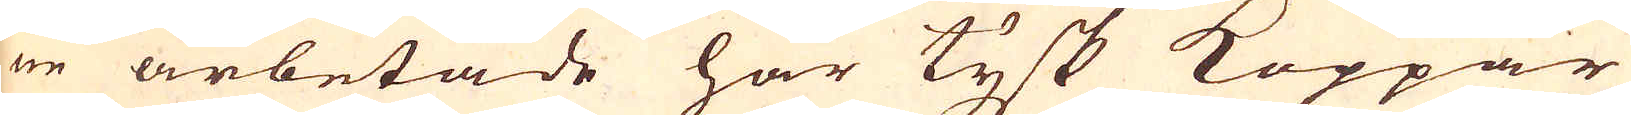ne arbetade här tysk Koppar
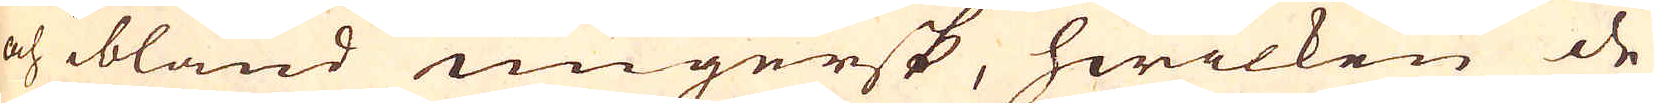och ibland ungersk, hwilken de
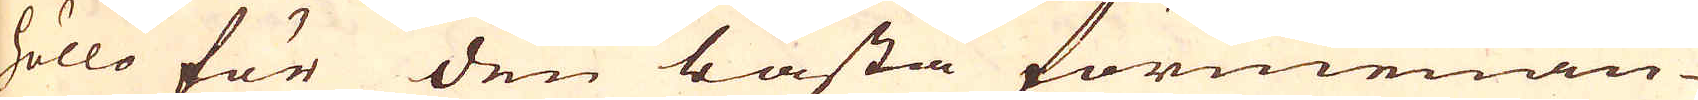höllo för den bästa förmenan-
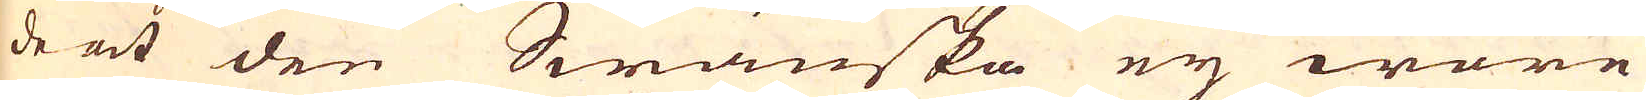de at den Swänska ej wore
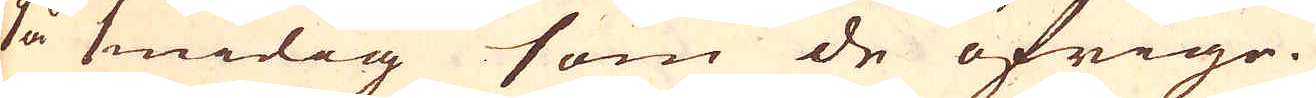så smidig som de öfrige.
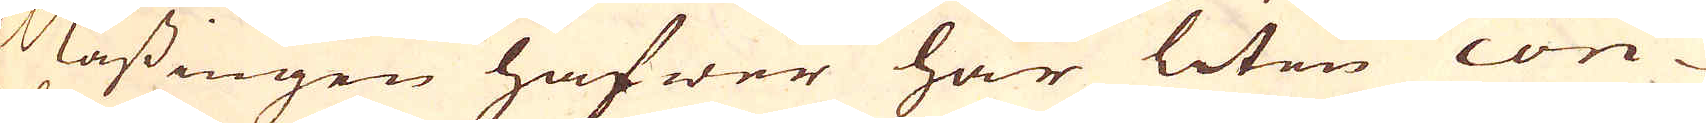Mässingen hafwer har liten con-
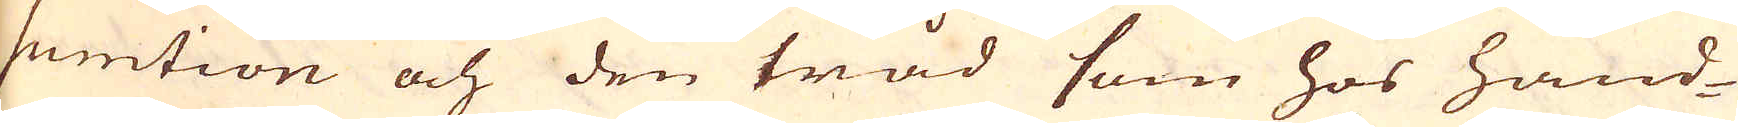sumtion och den tråd som hos hand-
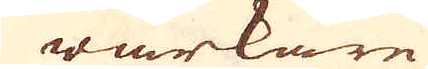wärkare
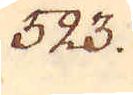323.
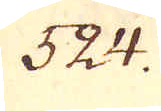524.
